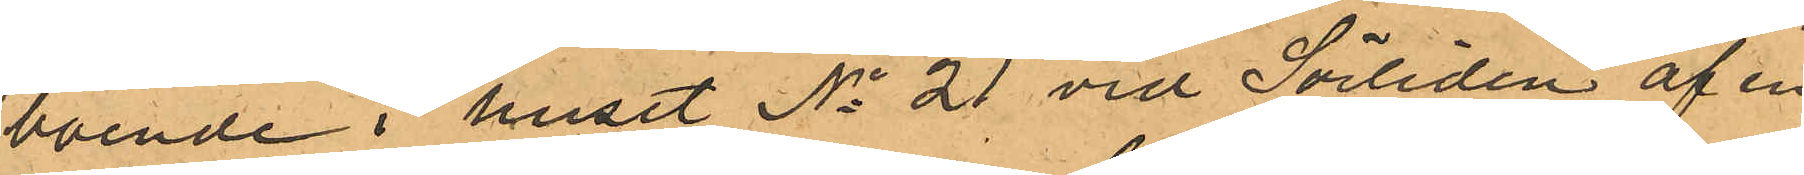boende i huset No 21 vid Sörliden af en
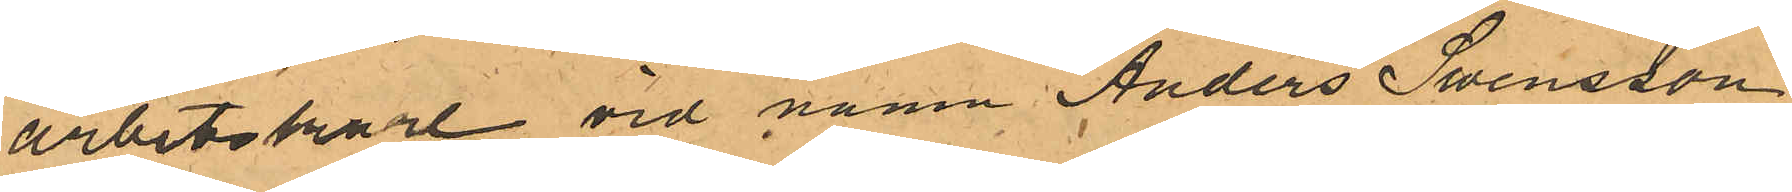arbetskarl vid namn Anders Swensson,
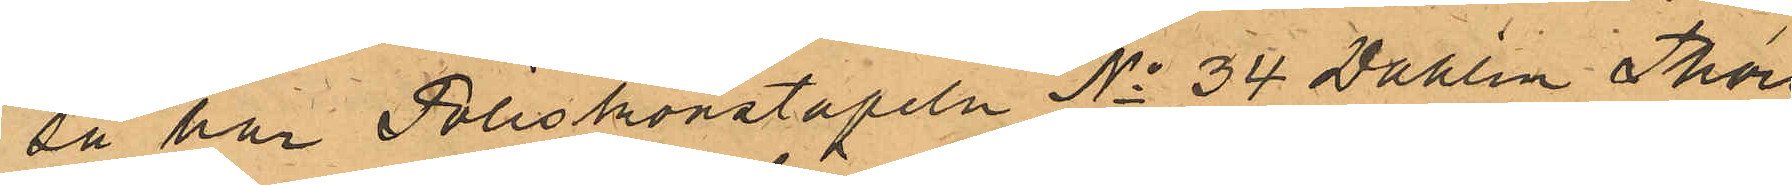så har Poliskonstapeln No 34 Dahlin Thors-
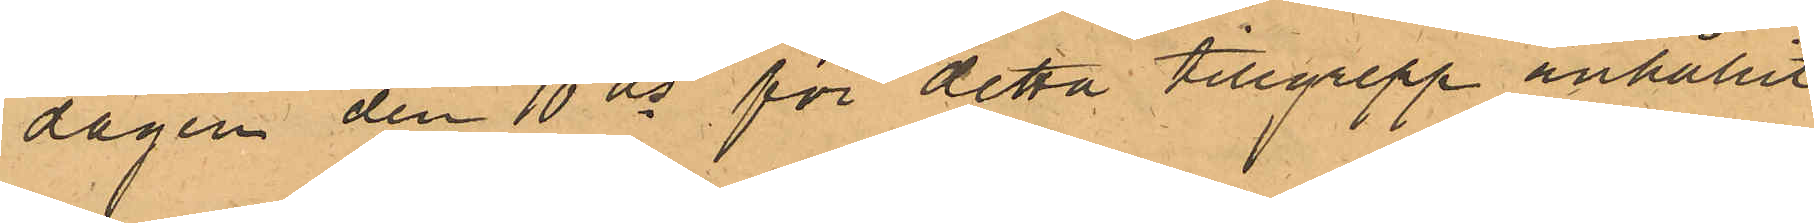dagen den 10 ds för detta tillgrepp anhållit
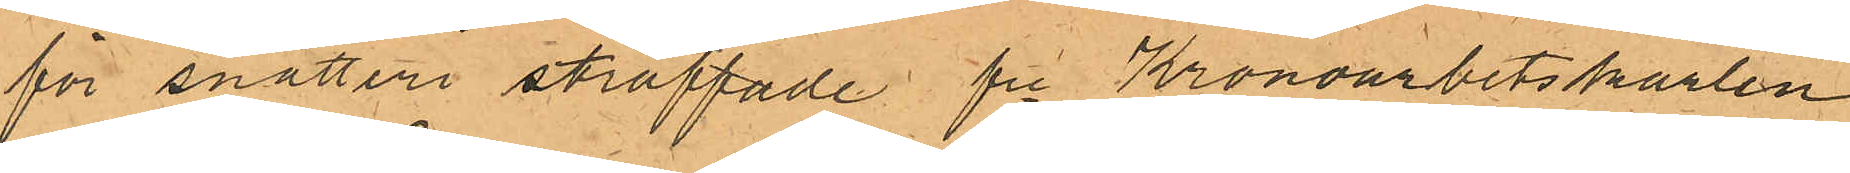för snatteri straffade fre Kronoarbetskarlen
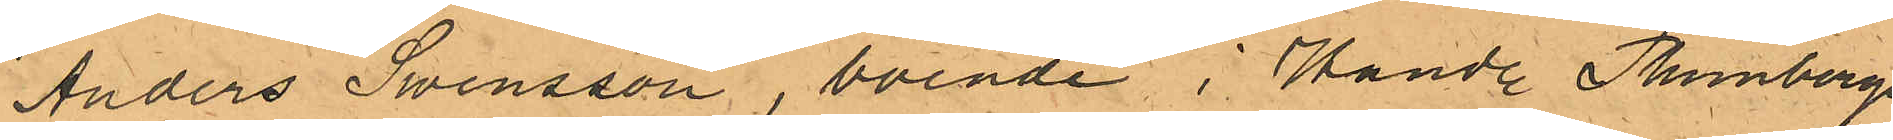Anders Swensson, boende i Handl. Thunbergs
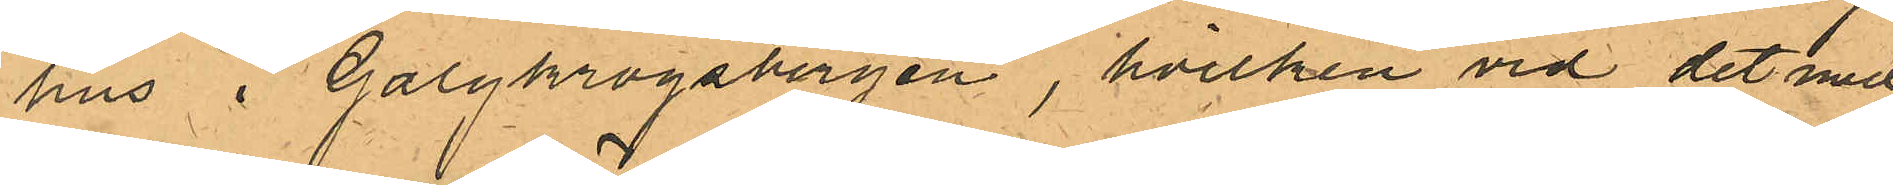hus i Galgkrogsbergen, hvilken vid det med
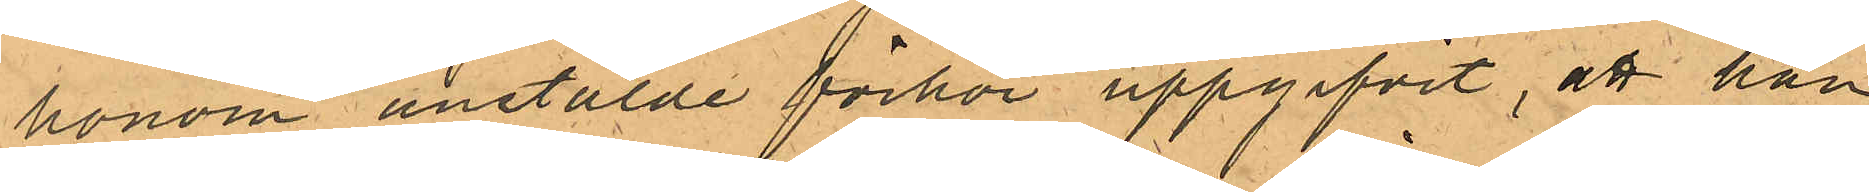honom anstälde förhör uppgifvit, att han
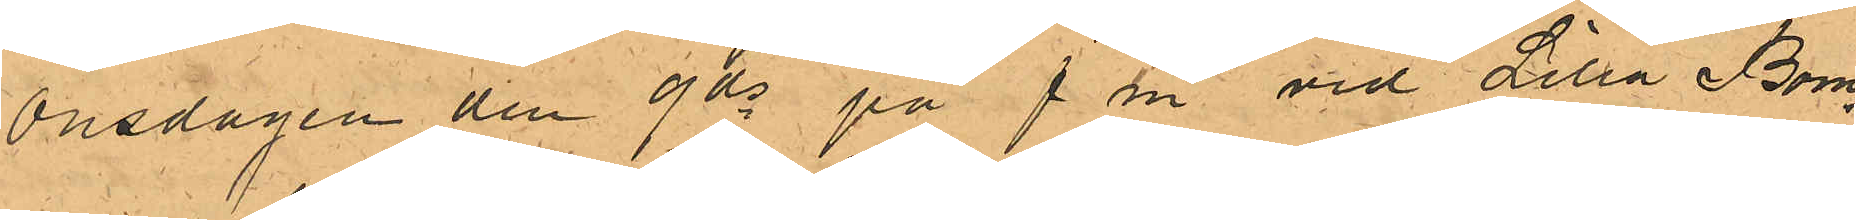Onsdagen den 9 ds på f.m. vid Lilla Bom¬
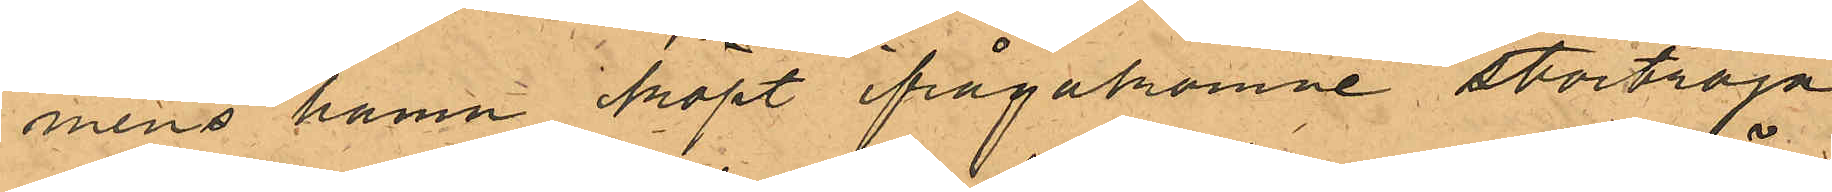mens hamn köpt ifrågakomne stortröja
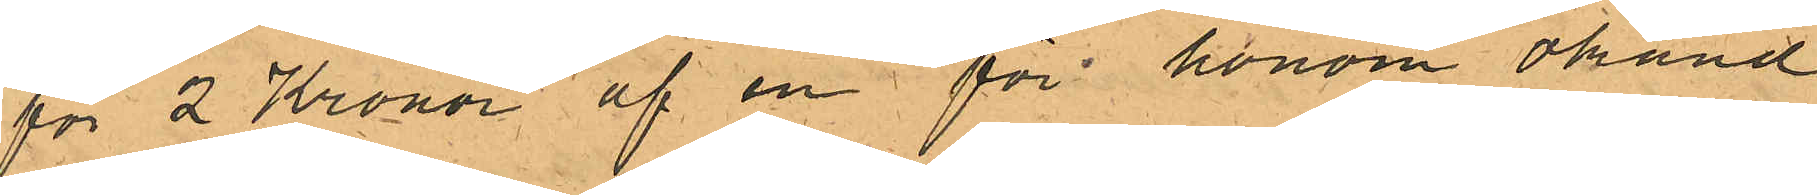för 2 Kronor af en för honom okänd
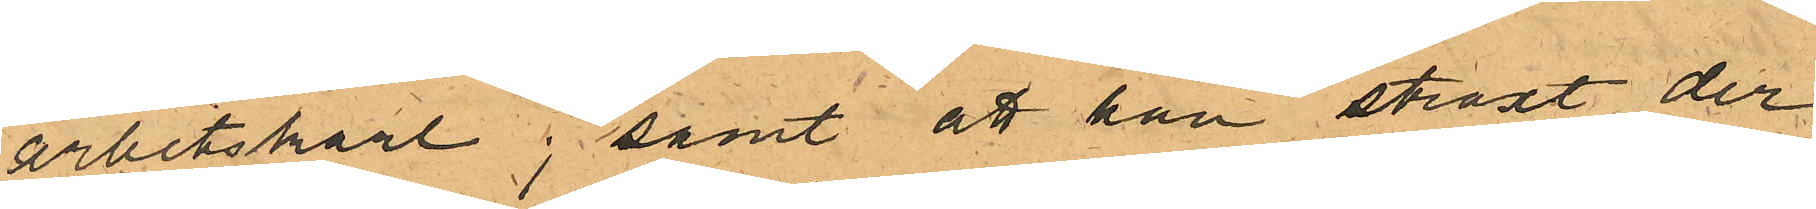arbetskarl; samt att han straxt der¬
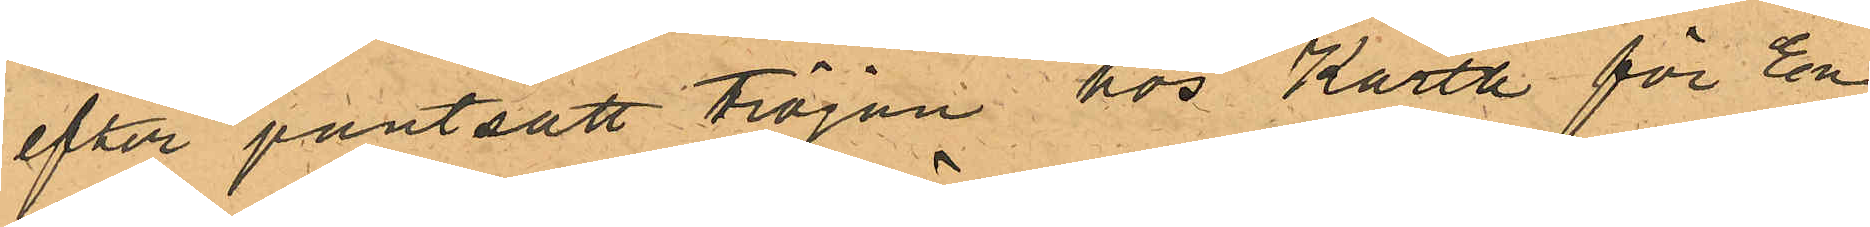efter pantsatt tröjan hos Karth för En
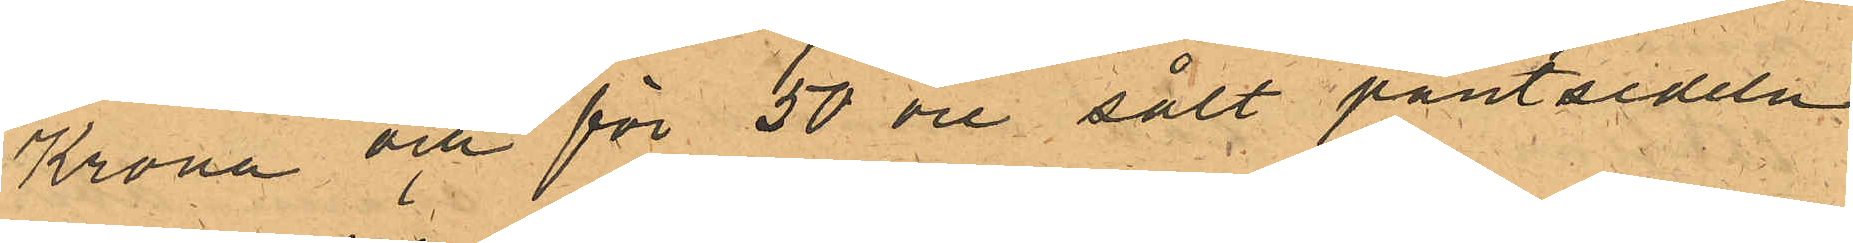Krona och för 50 öre sålt pantsedeln
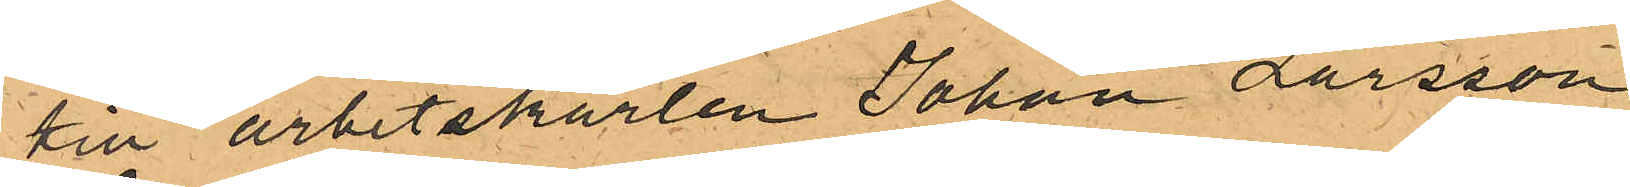till arbetskarlen Johan Larsson
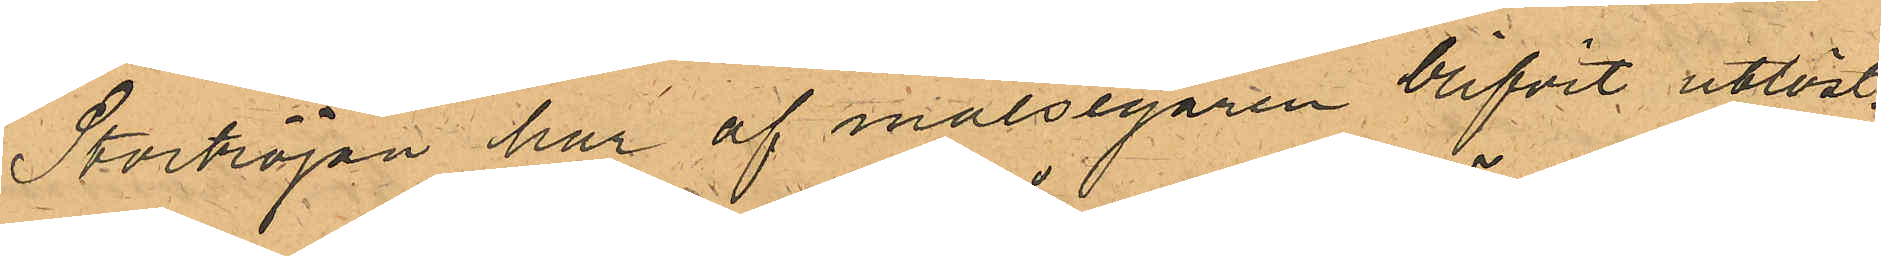Stortröjan har af målsegaren blifvit utlöst.
